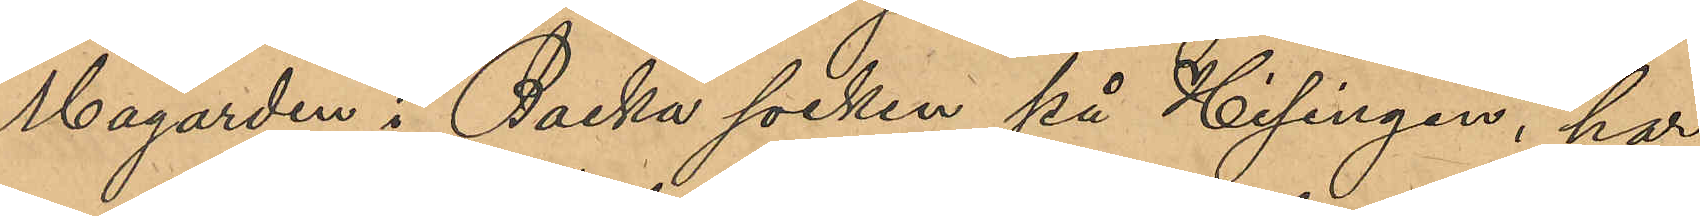Magården i Backa socken på Hisingen, har
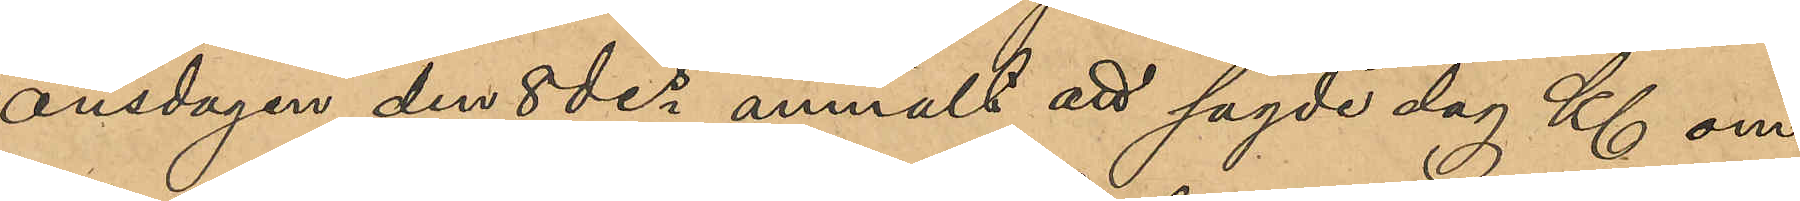onsdagen den 8 des anmält att sagde dag Kl om¬
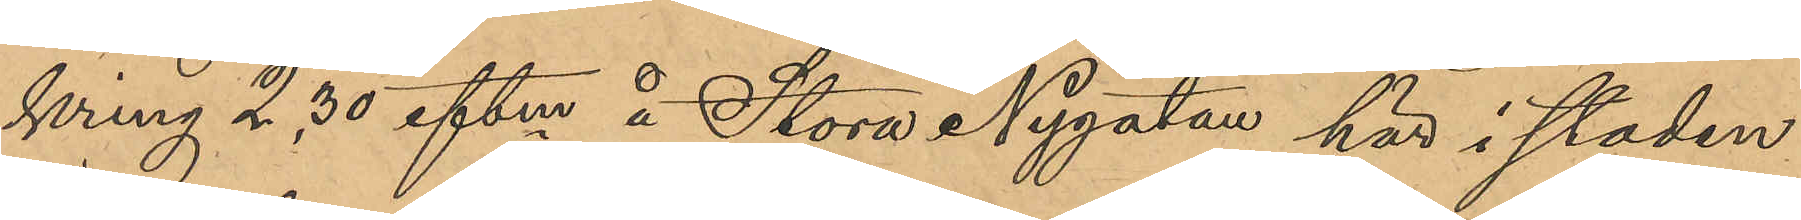kring 2,30 eftm å Stora Nygatan här i staden
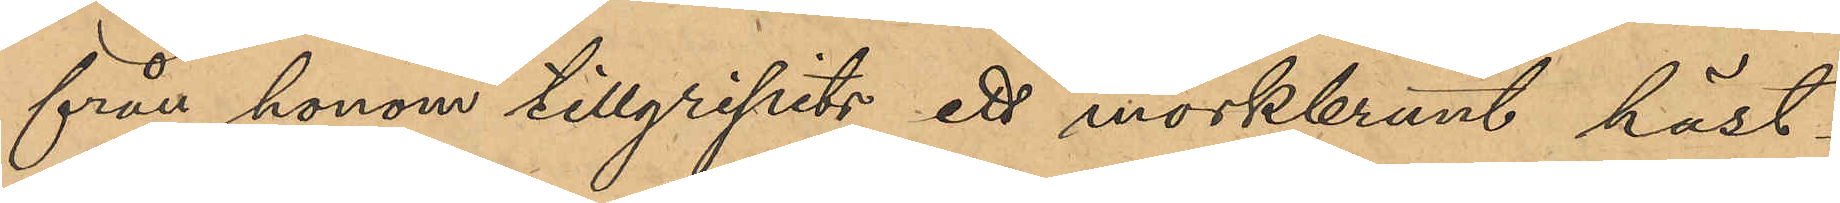från honom tillgripits ett mörkbrunt häst¬
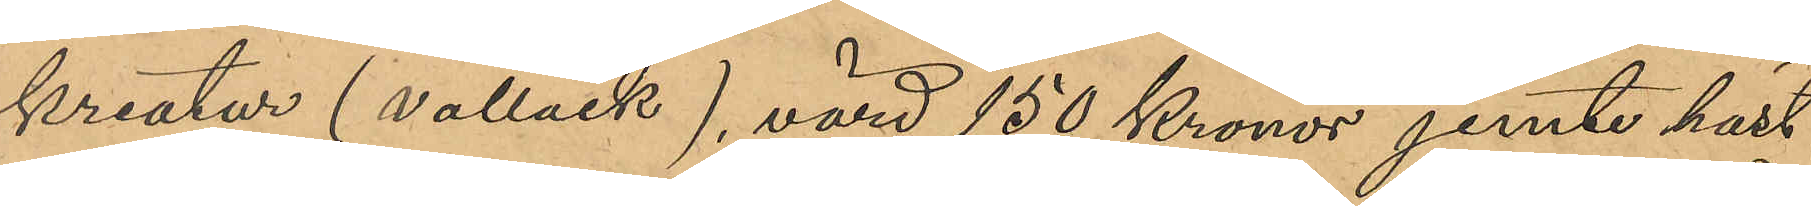kreatur (vallack), värd 150 Kronor jemte häst¬
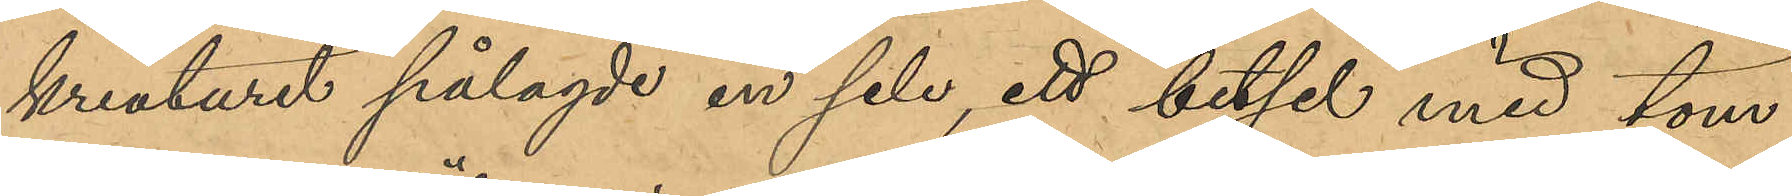kreaturet pålagde en sele, ett betsel med töm¬
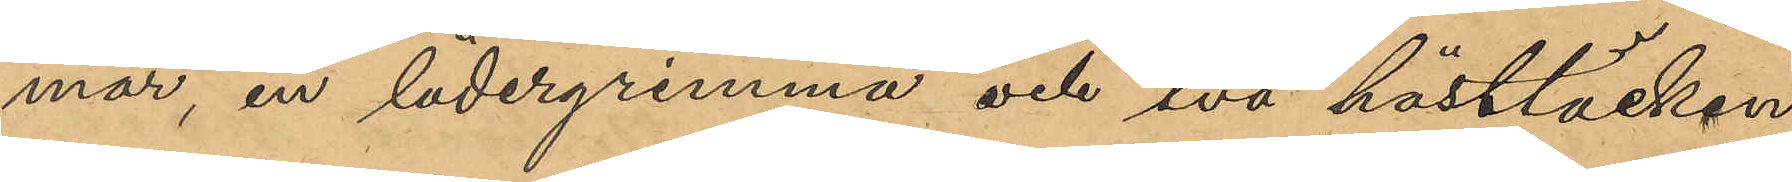mar, en lädergrimma och två hästtäcken,
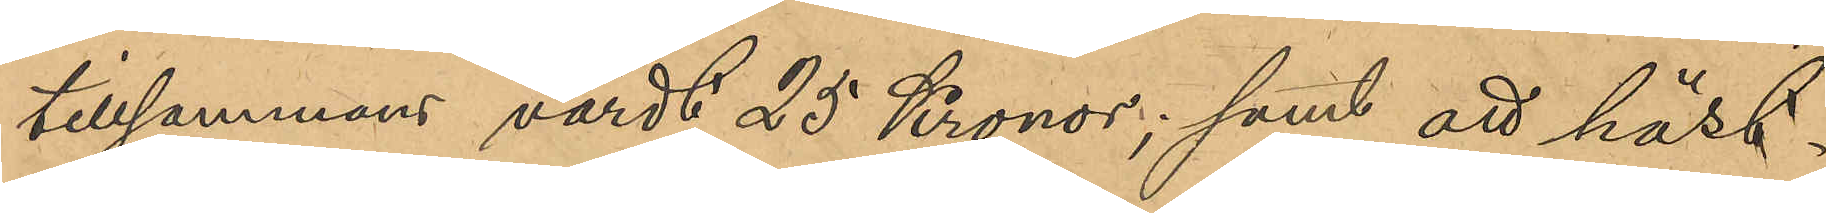tillsammans värdt 25 Kronor; samt att häst¬
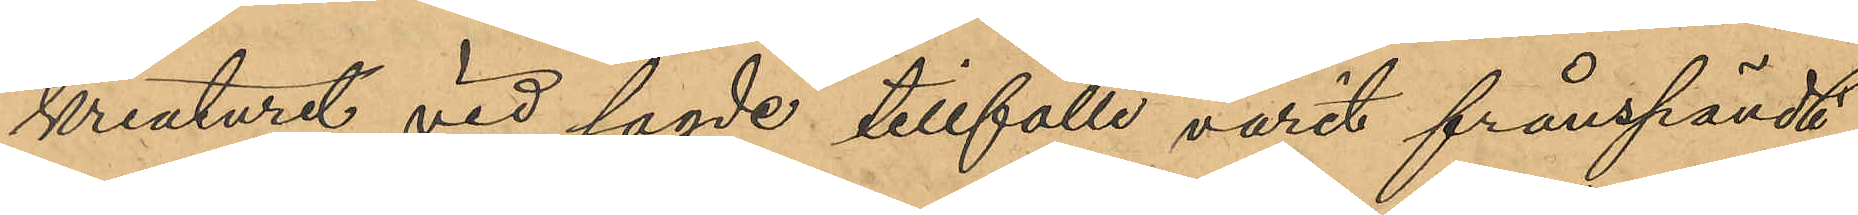kreaturet vid sagde tillfälle varit frånspändt
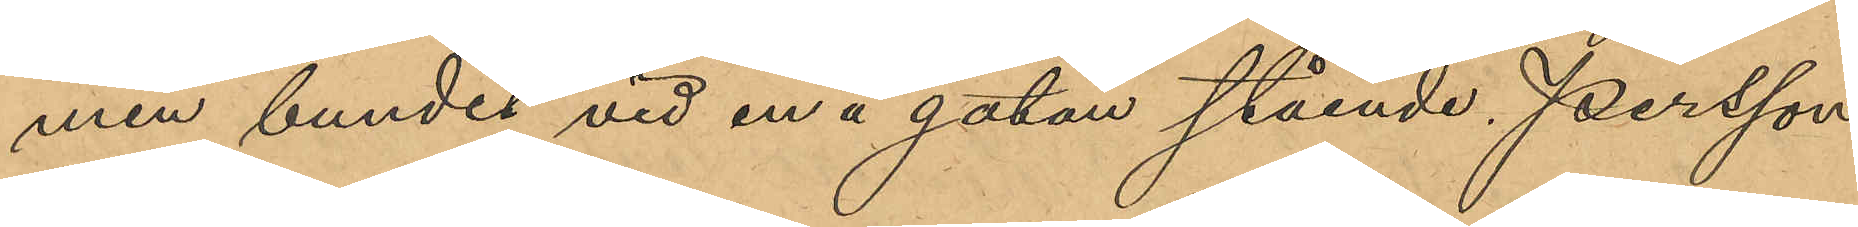men bundet vid en å gatan stående Persson
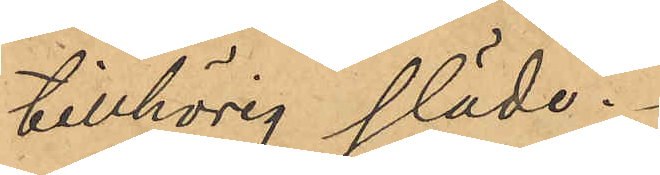tillhörig släde.
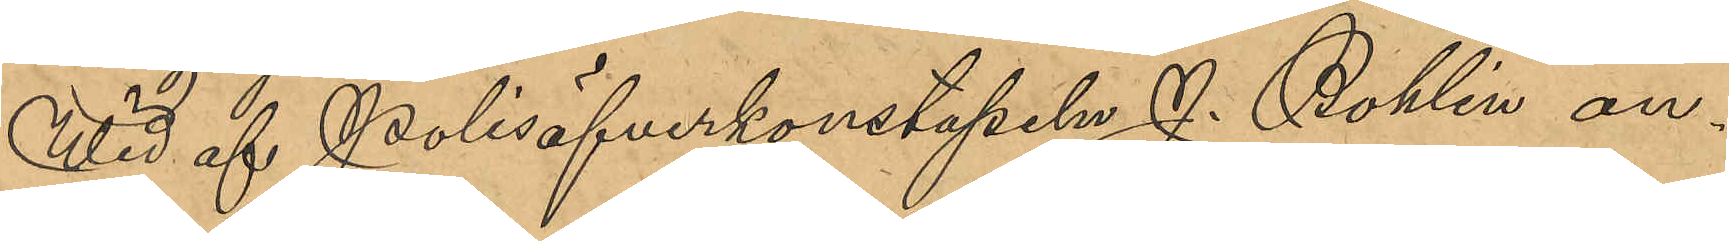Wid af Polisöfverkonstapeln J. Bohlin an¬
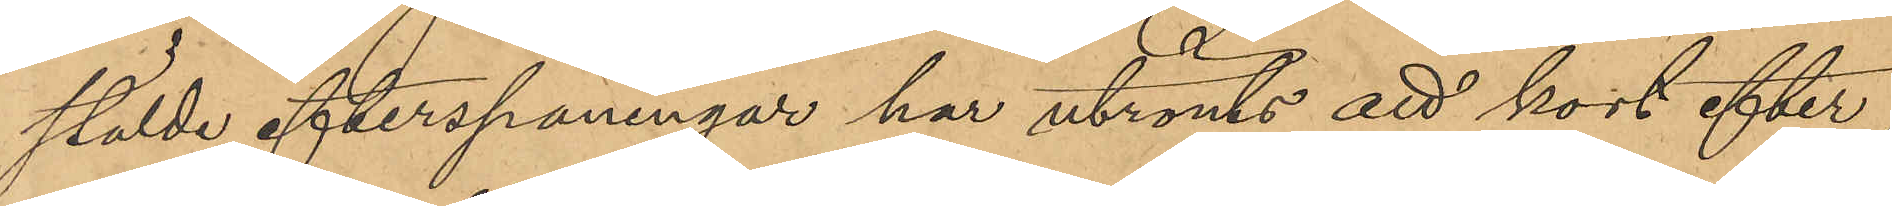stälde efterspaningar har utrönts att kort efter
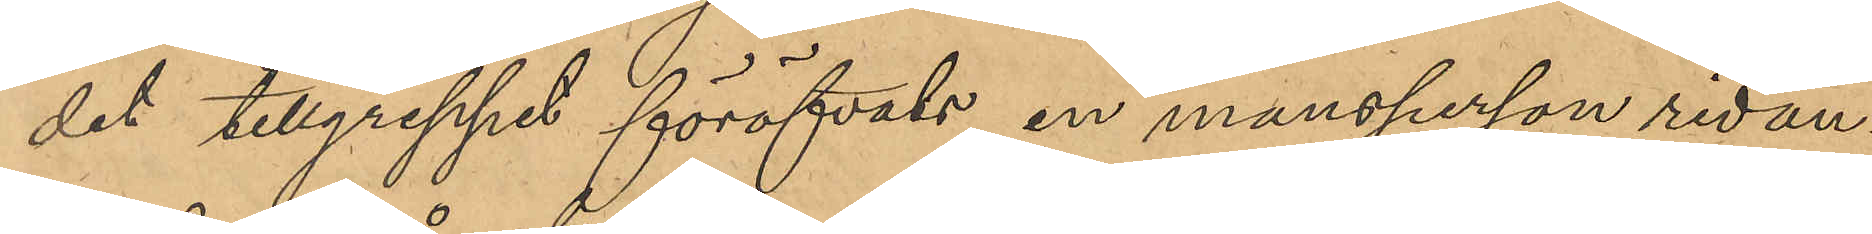det tillgreppet föröfvats, en mansperson ridan¬
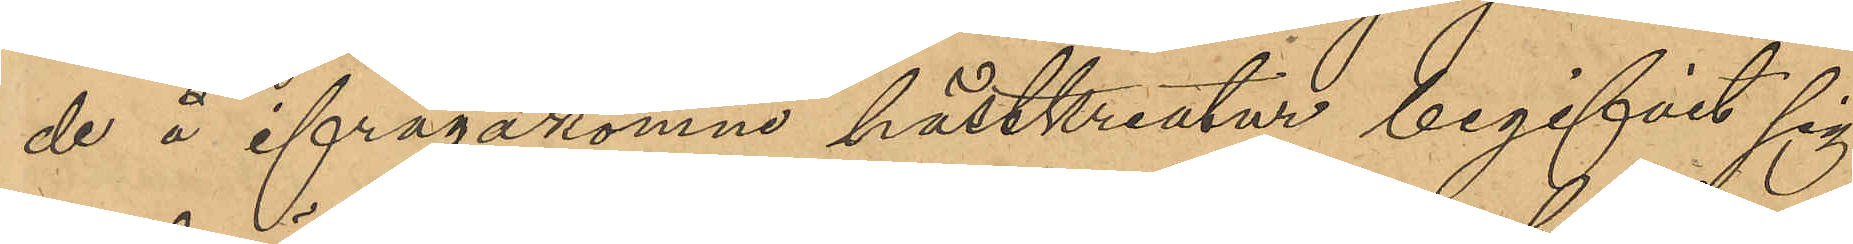de på å ifrågakomne hästkreatur begifvit sig
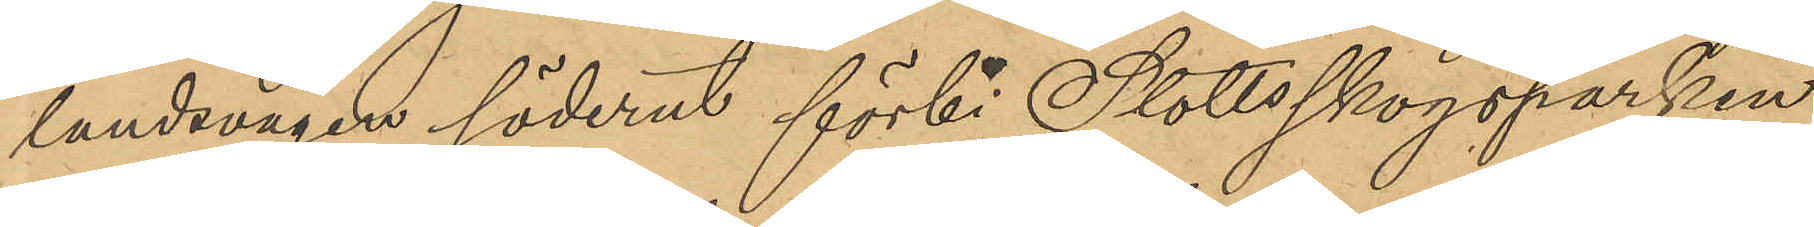landsvägen söderut förbi Slottsskogsparken
